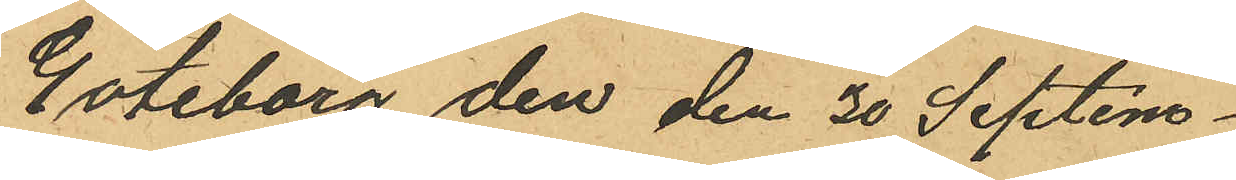Göteborg den den 30 Septem¬
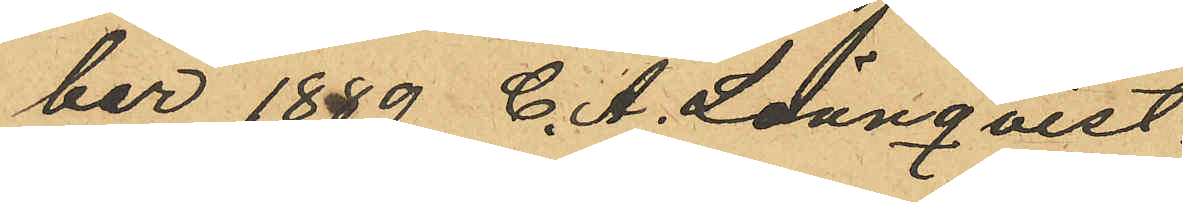ber 1889 C. A. Lönnqvist.
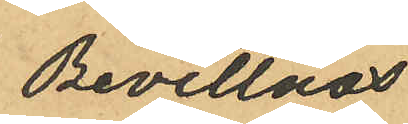Bevittnas
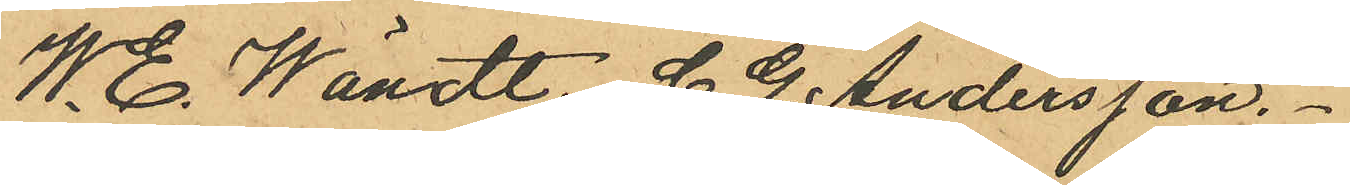W. E. Wändt. C. G. Andersson.
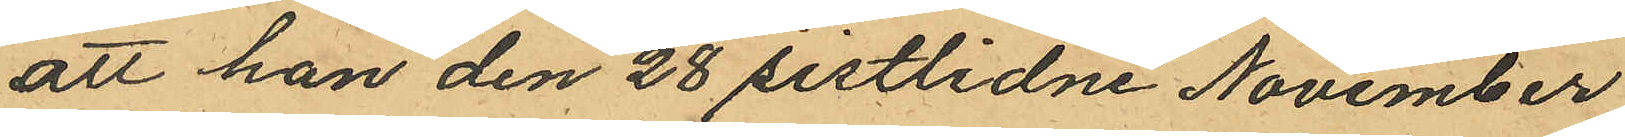att han den 28 sistlidne November
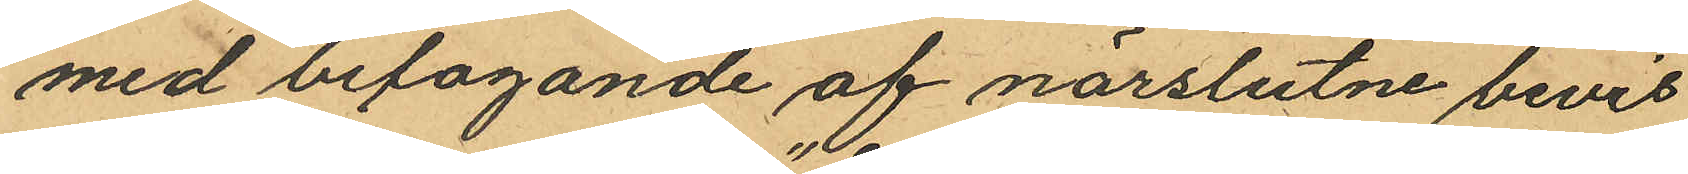med bifogande af närslutne bevis
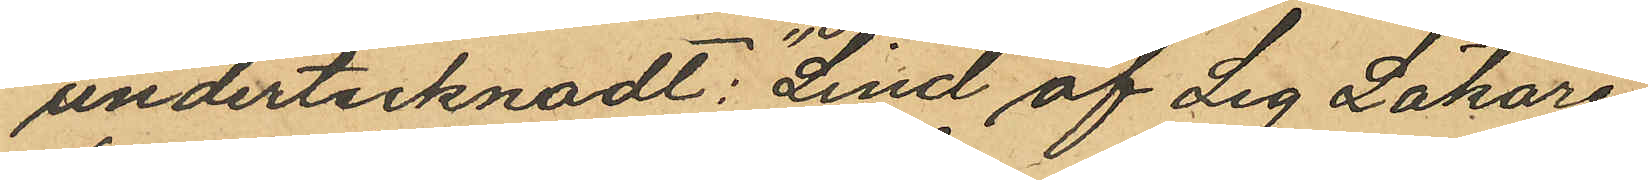undertecknadt: "Lind öf Leg Läkare"
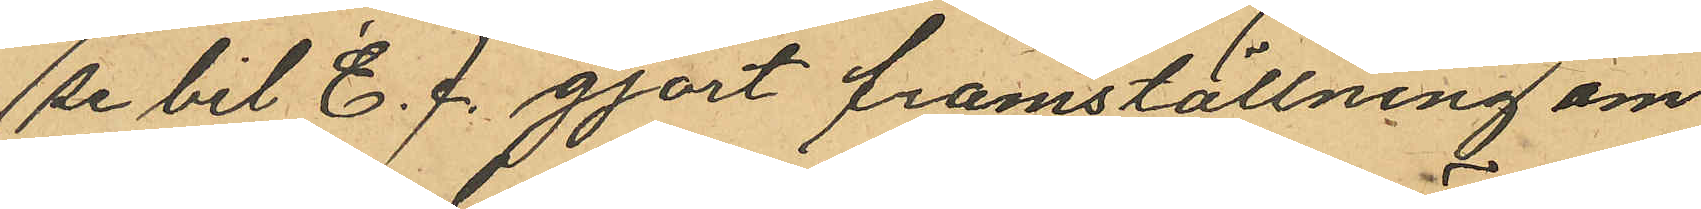(se bil E.) gjort framställning om
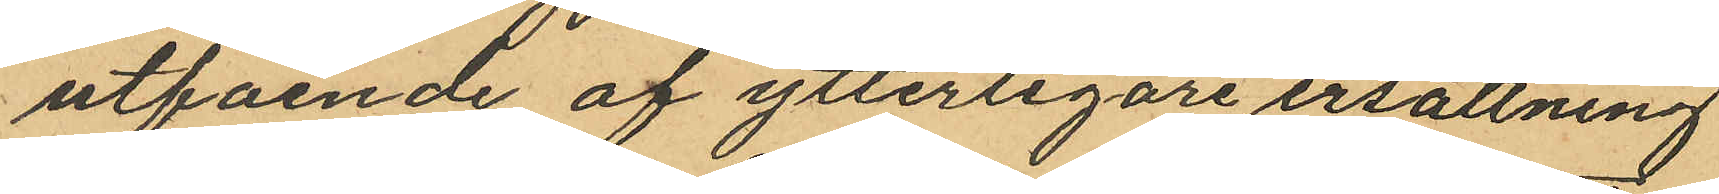utfående af ytterligare ersättning
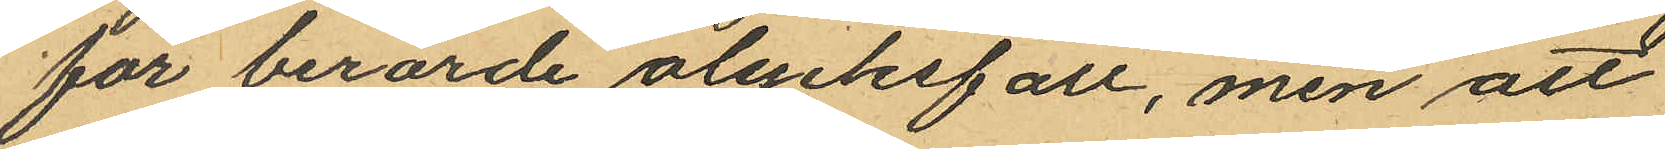för berörde olycksfall, men att
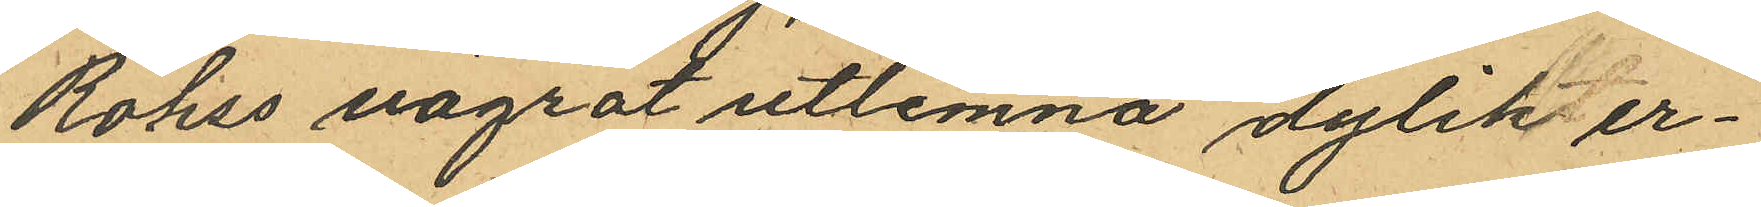Röhss vägrat utlemna dylik er¬
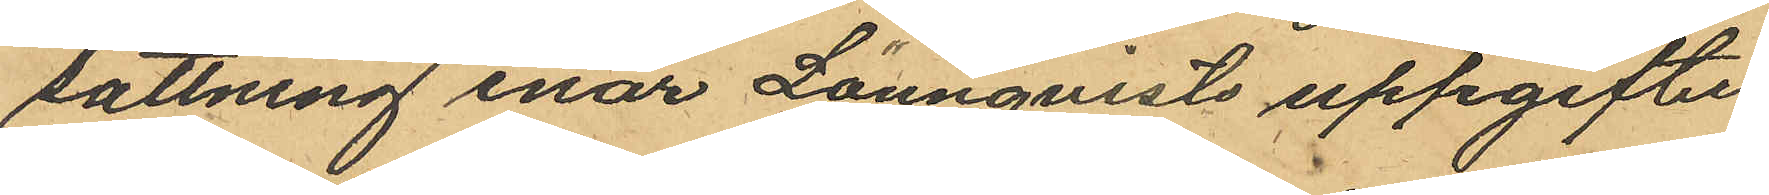sättning enär Lönnqvists uppgifter
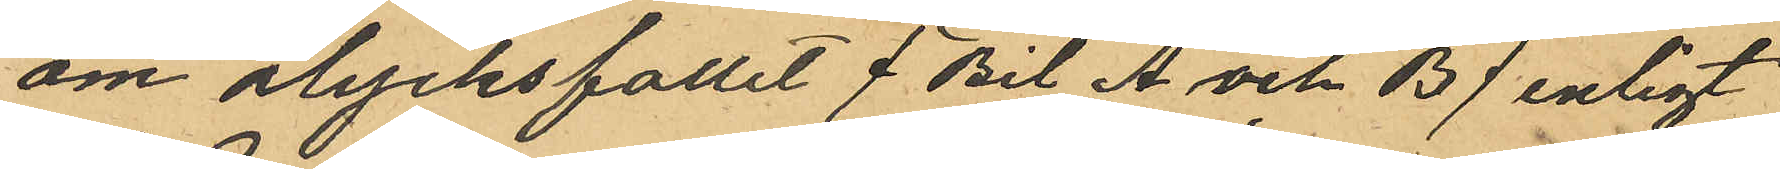om olycksfallet (Bil A och B) enligt
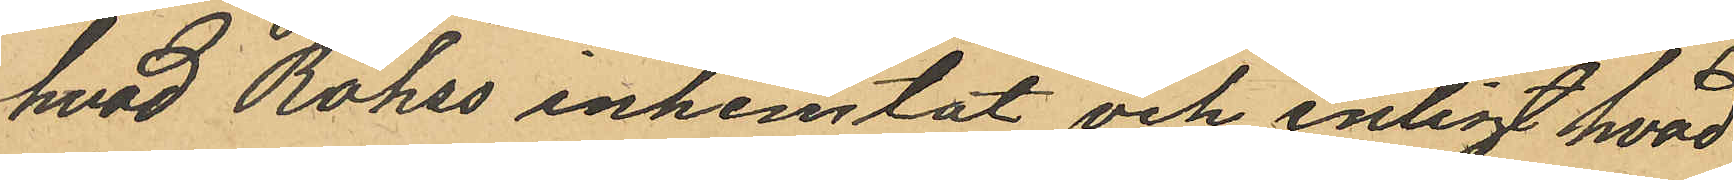hvad Röhss inhemtat och enligt hvad
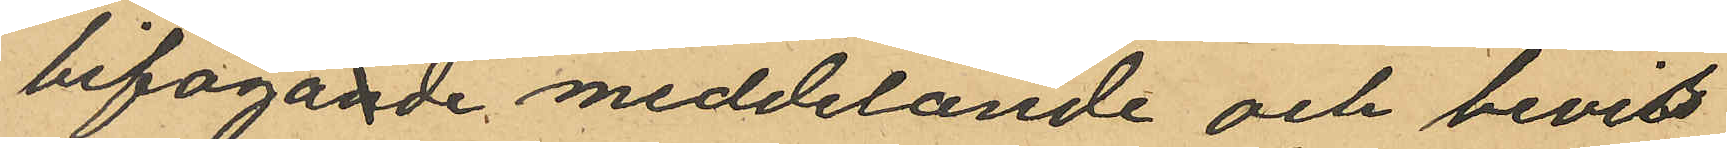bifogande meddelande och bevis
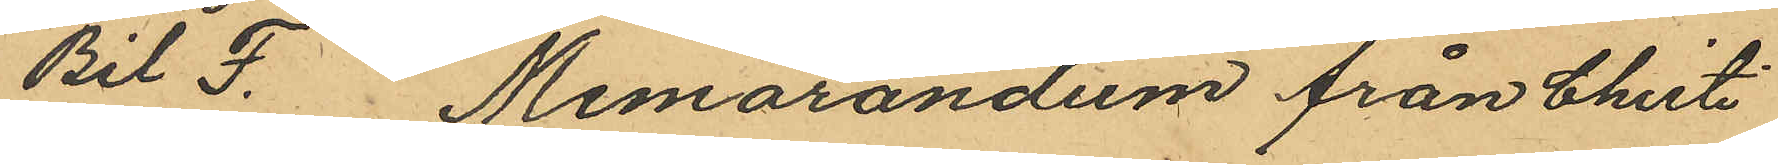Bil F. Memorandum från Christi¬
